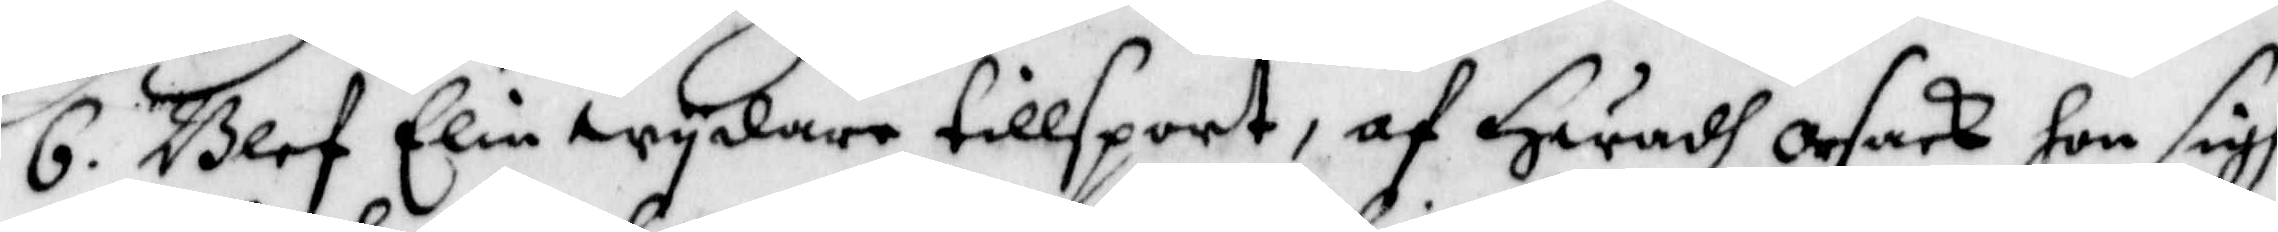6. Blef Elin wydare tillsport, f Hwadh orsak hon sigh
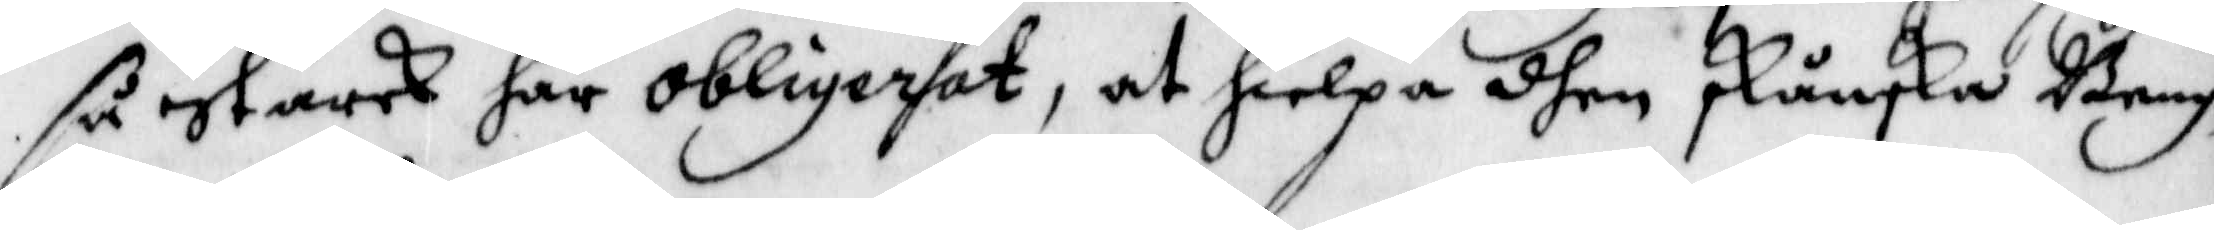så Starck har obligerat, at hielpa dhen skånska Beng¬
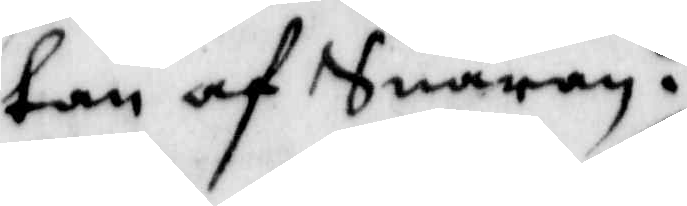tan af Snaran.
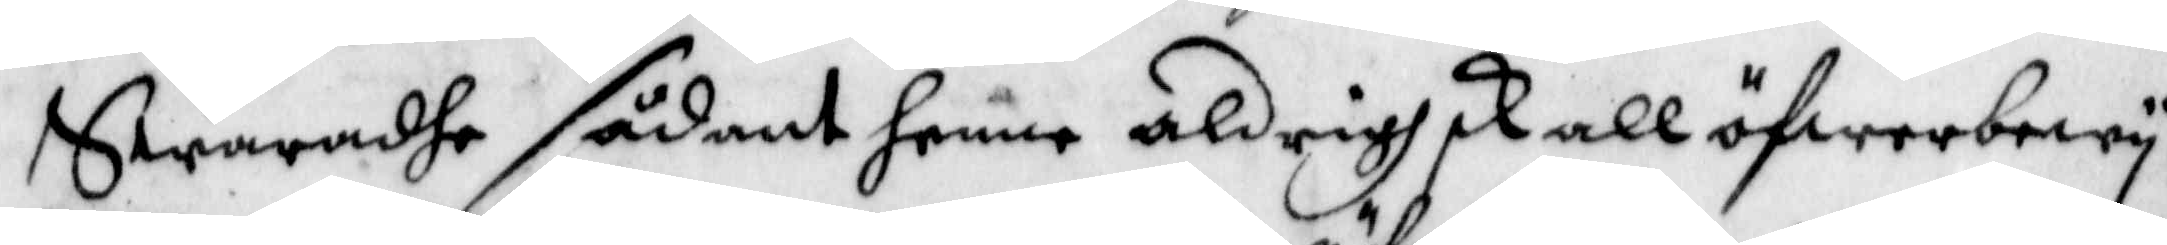Swaradhe sådant henne aldrigh skall öfwerbewy¬
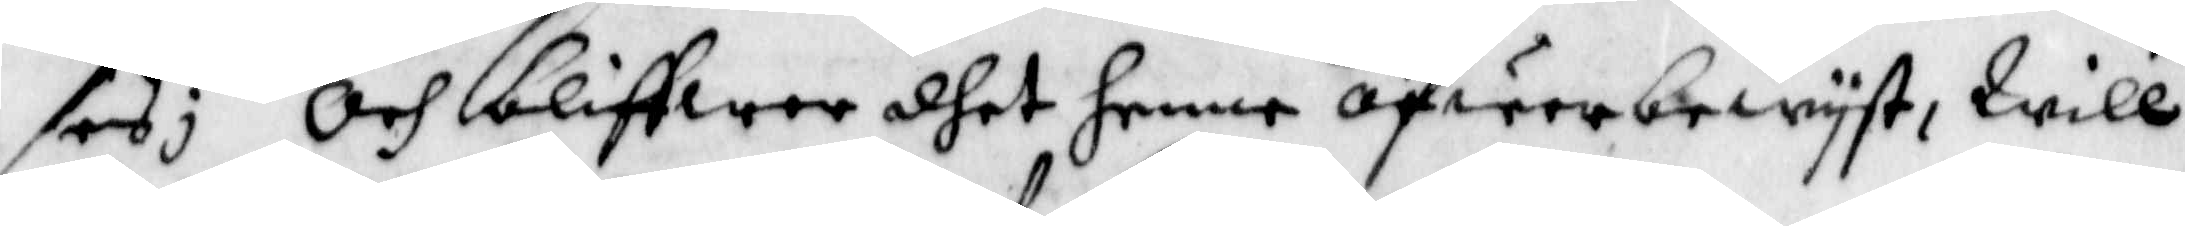sas; och bliffwer dhet henne öfwerbewyst, Will
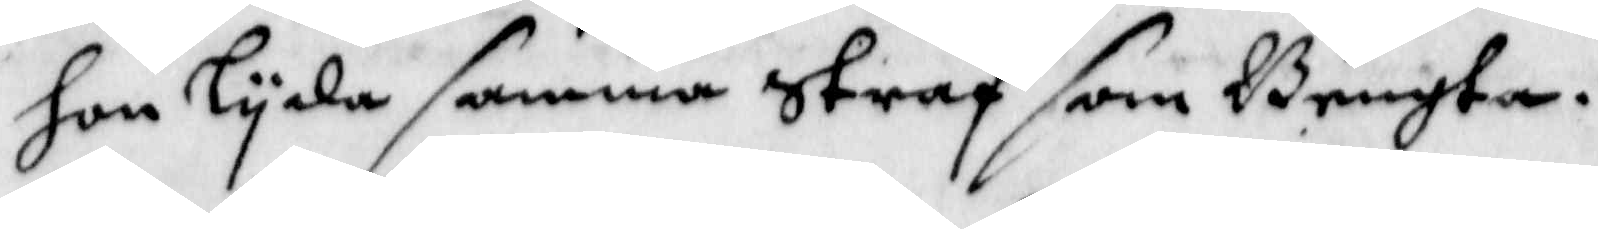hon Lyda samma Straf som Bengta.
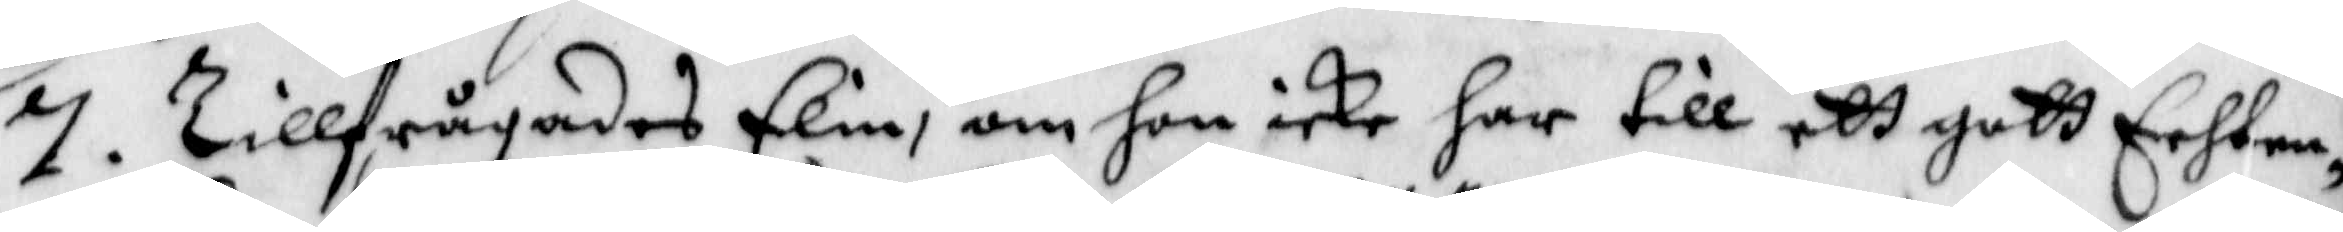7. Tillfrågades Elin, om hon icke har till ett gott Echten¬
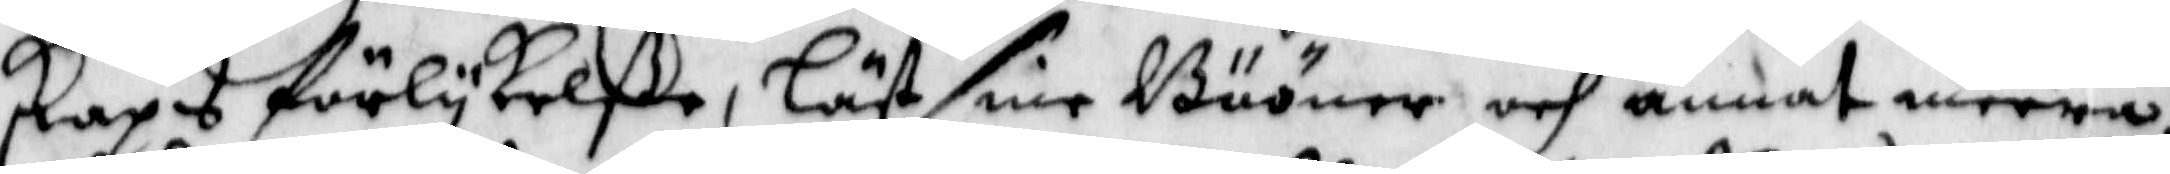skaps förlykelße, Läst sine Bööner och annat meera,
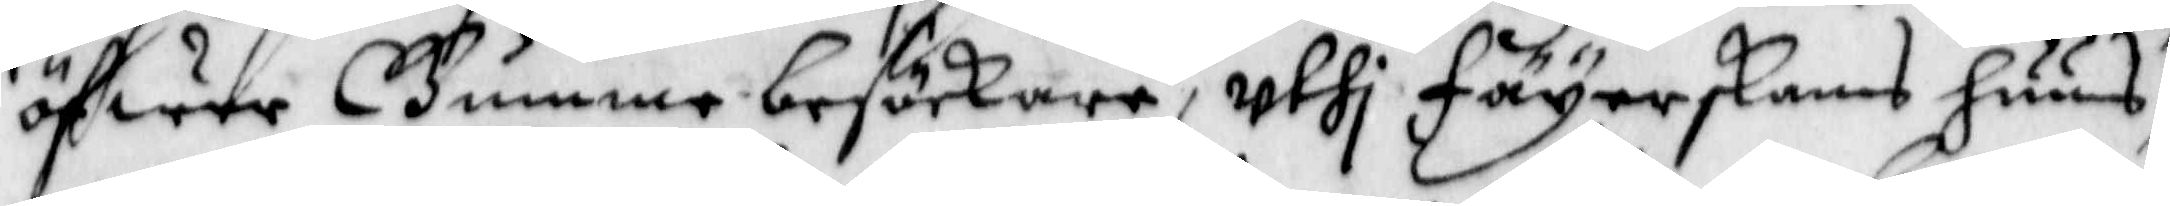öfwer Gumme besökare, uthi Feyerskans huus,
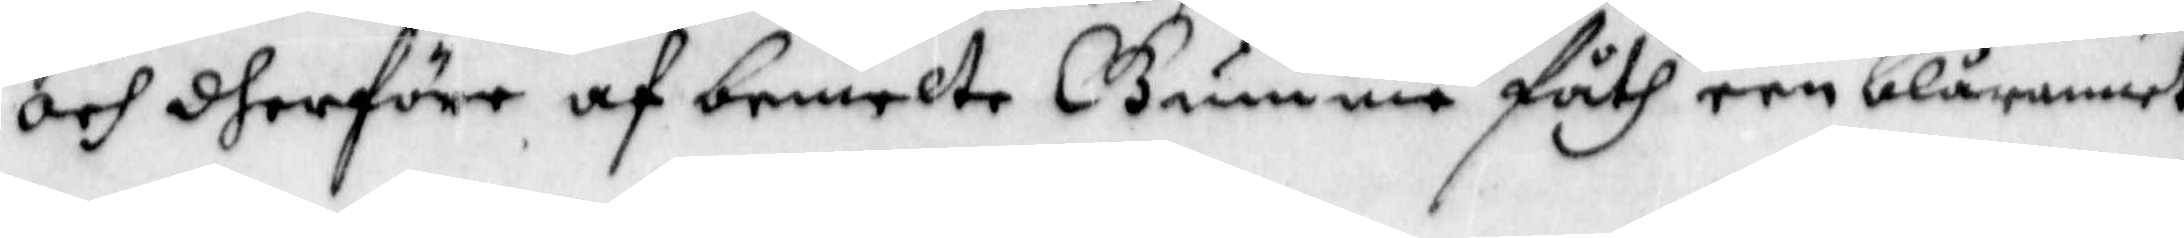och dherföre af bemelte Gumme fåth een blårannet
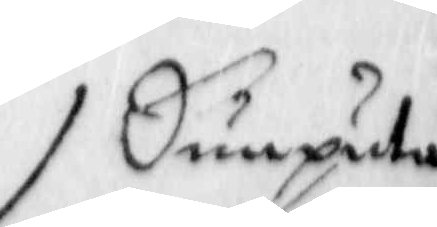Dunputa
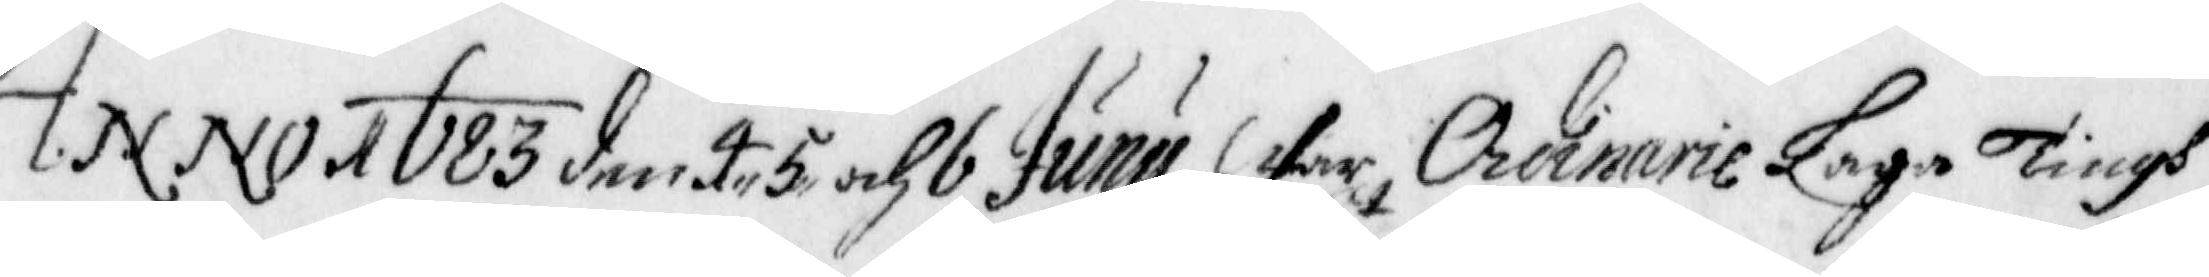Anno 1683 den 4. 5 och 6 Juny War, Ordinarie Laga Tingh
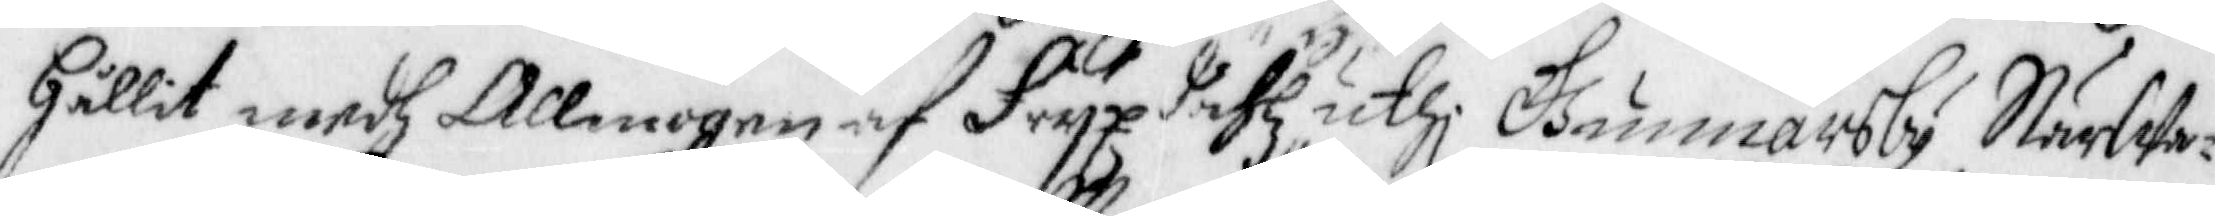hållit medh Allmogen af Fryxdahlz uthi Gunnarsby Närwa¬
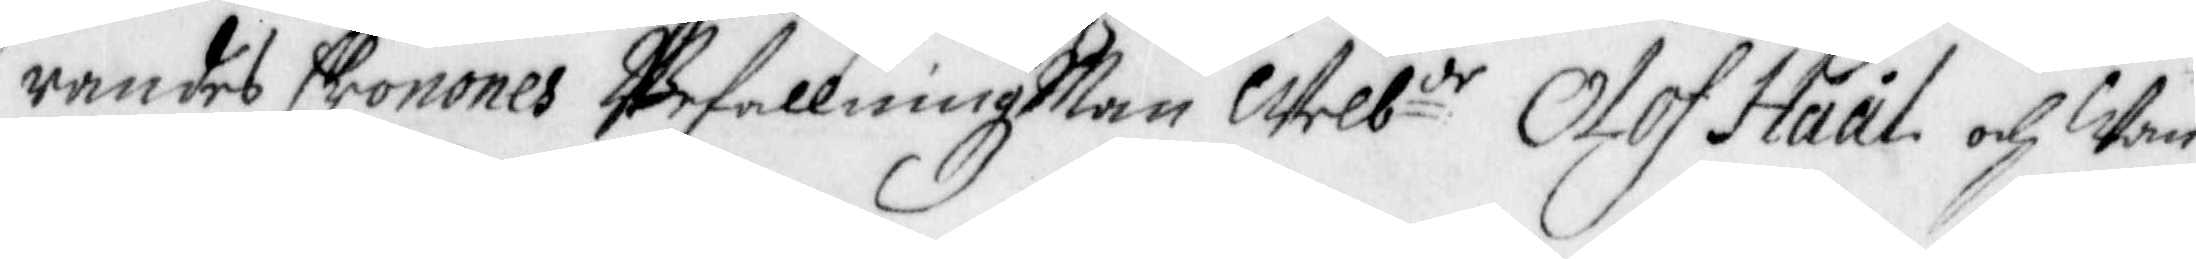randes Cronones BefallningzMan Welb:de Olof Håål och Wan¬
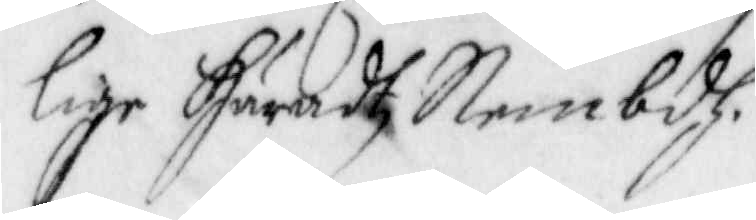lige Häradz Nembdh.
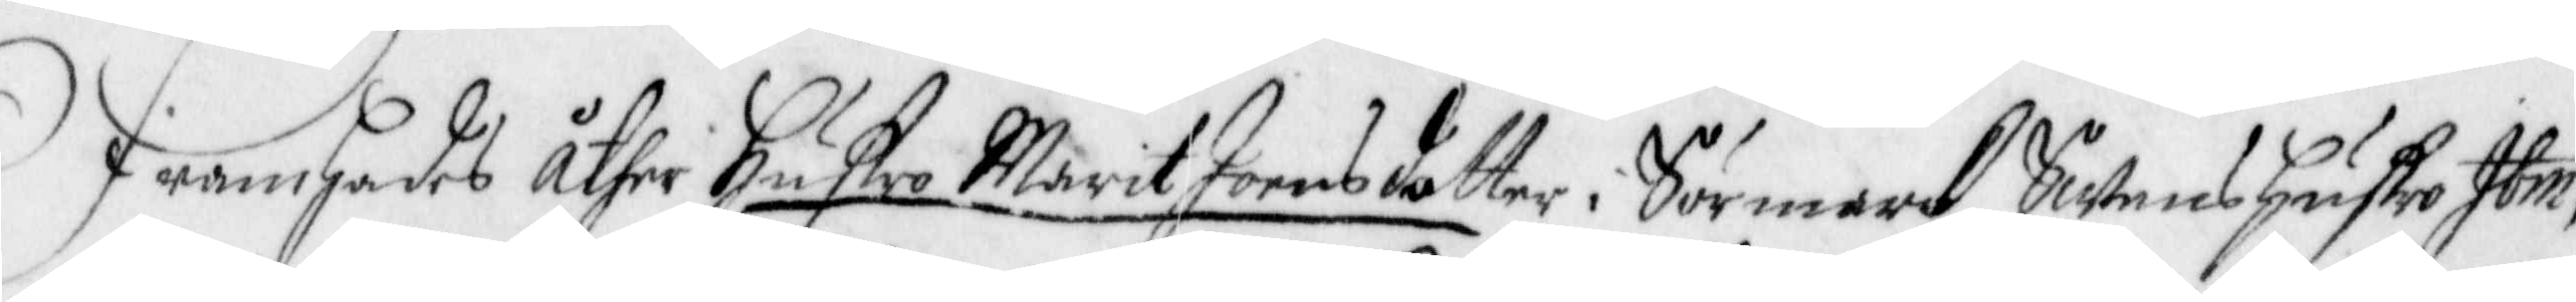Framhades åther Hustro Marit Joensdotter i Sörmark, Swens Hustro Ibm,
